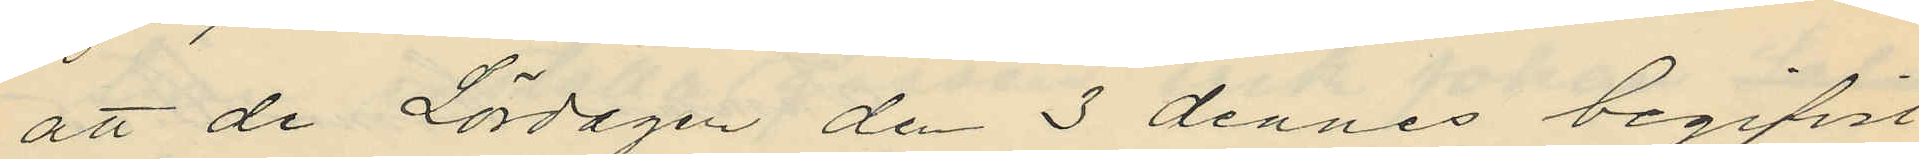att de Lördagen den 3 dennes begifvit
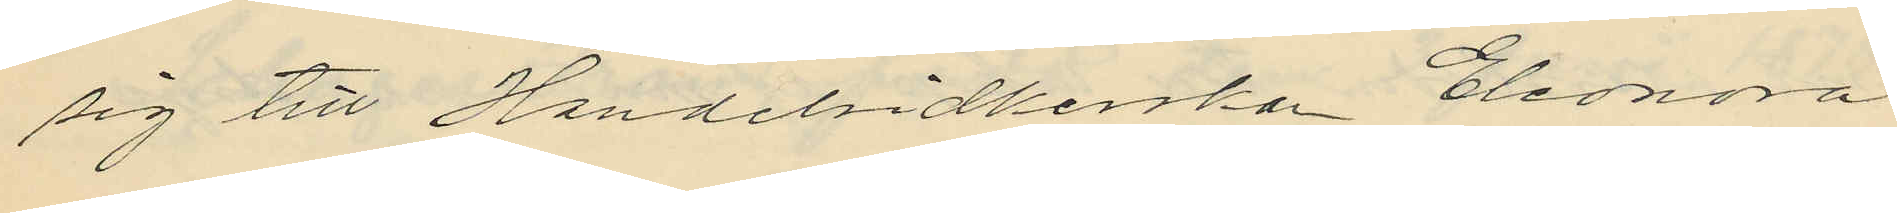sig till Handelsidkerskan Eleonora
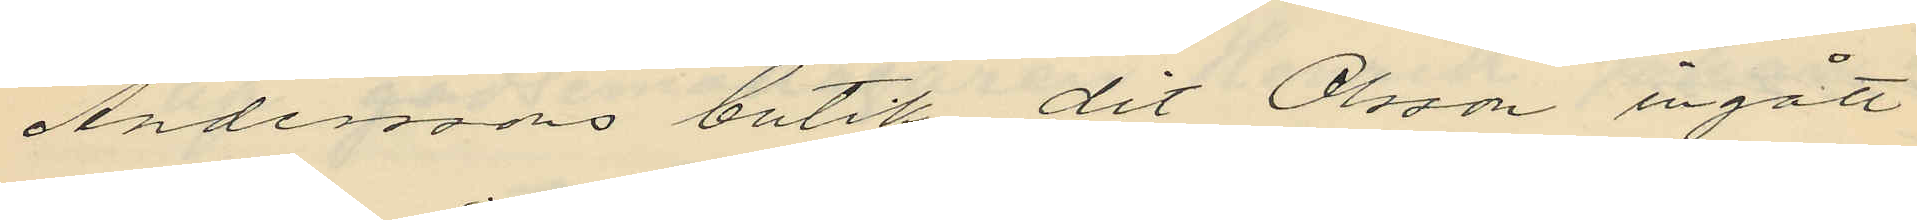Andersons butik, dit Olsson ingått
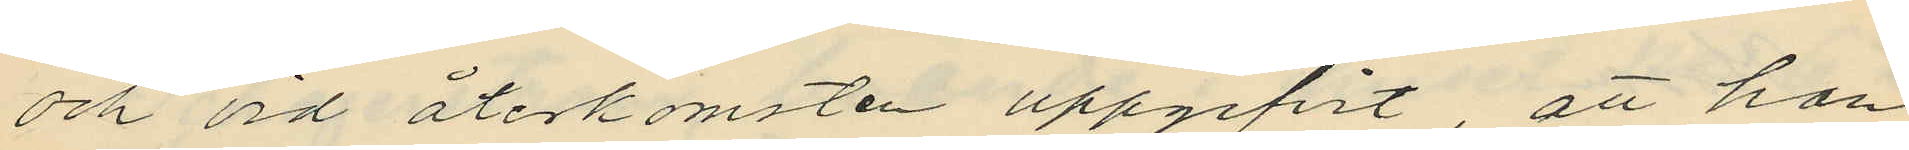och vid återkomsten uppgifvit, att han
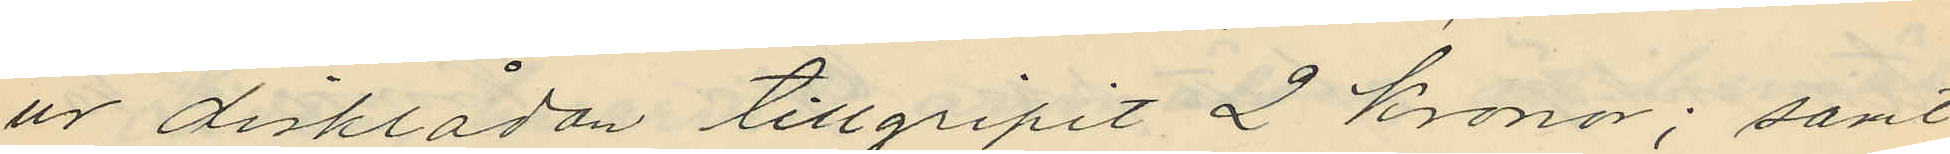ur disklådan tillgripit 2 kronor; samt
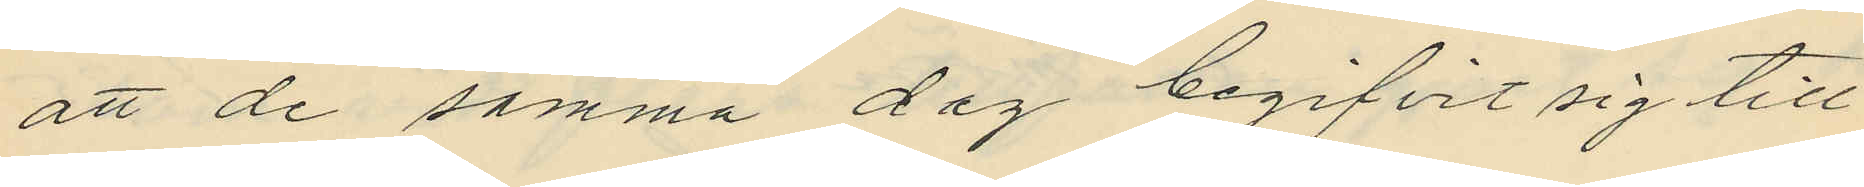att de samma dag begifvit sig till
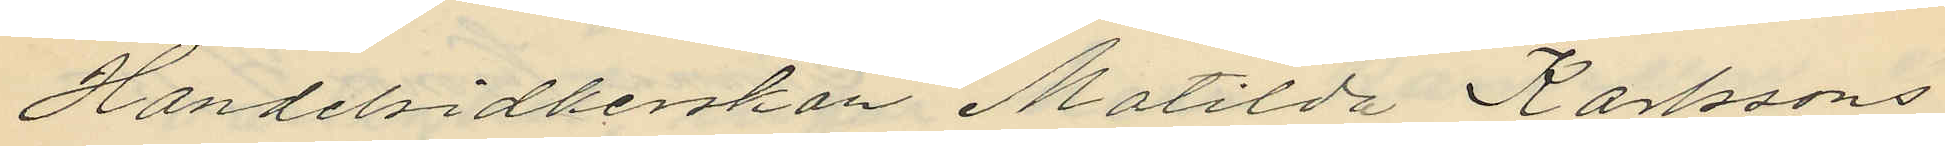Handelsidkerskan Matilda Karlssons
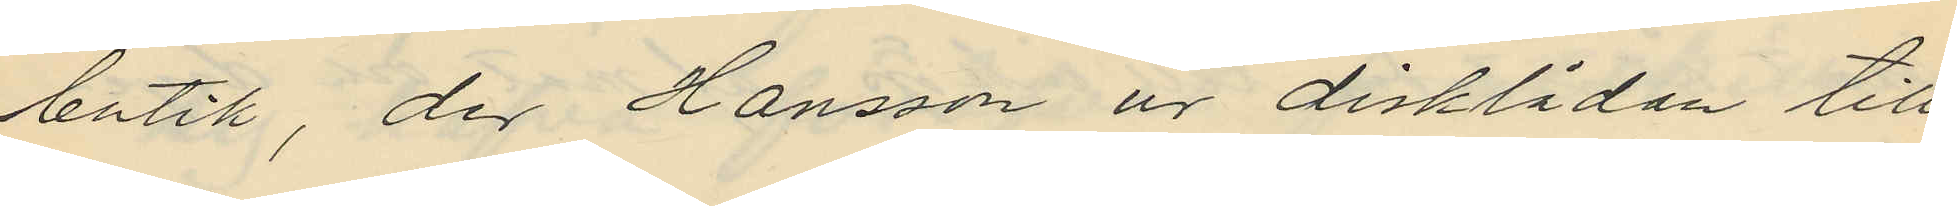butik, der Hansson ur disklådan till
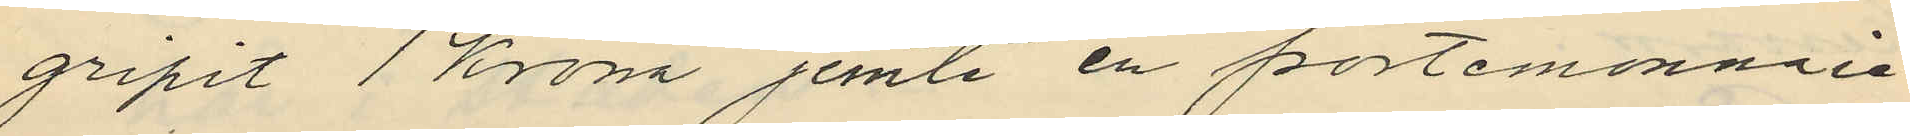gripit 1 Krona jemte en portemonnaie
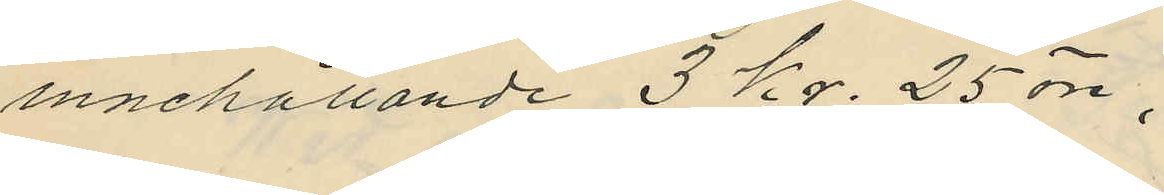innehållande 3 kr. 25 öre;
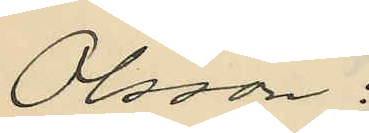Olsson:
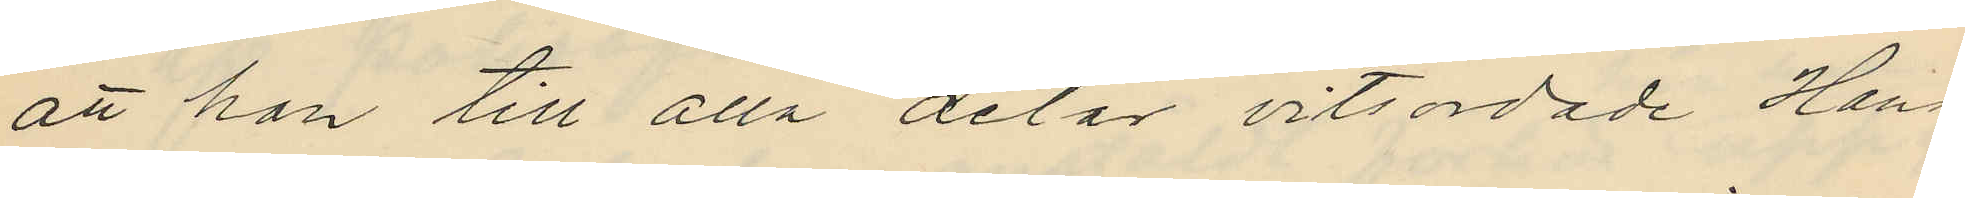att han till alla delar vitsordade Hans¬
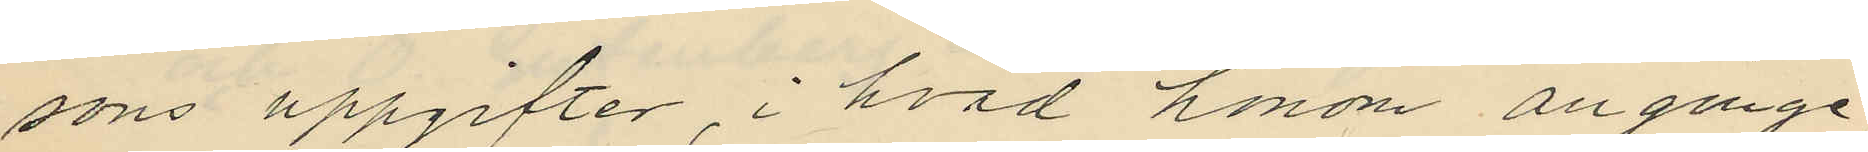sons uppgifter, i hvad honom anginge
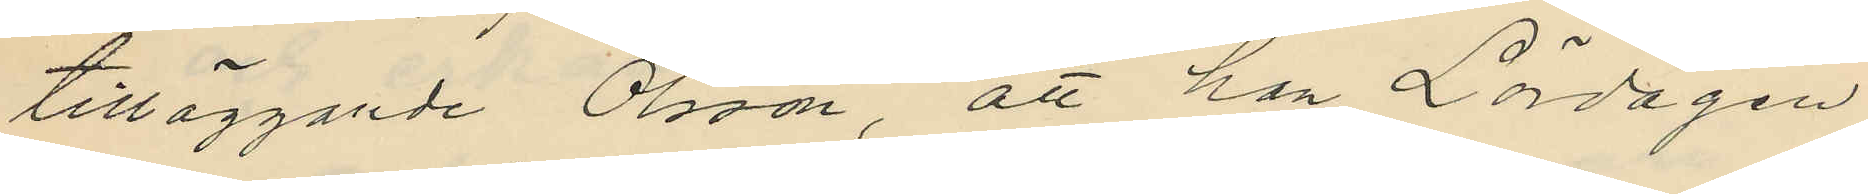tilläggande Olsson, att han Lördagen
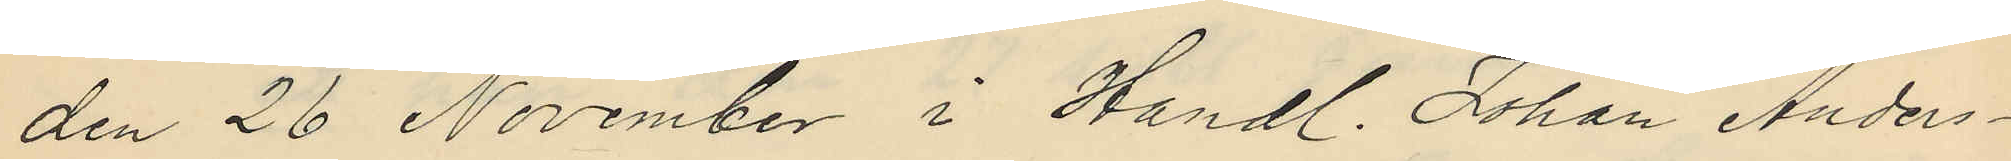den 26 November i Handl. Johan Anders¬
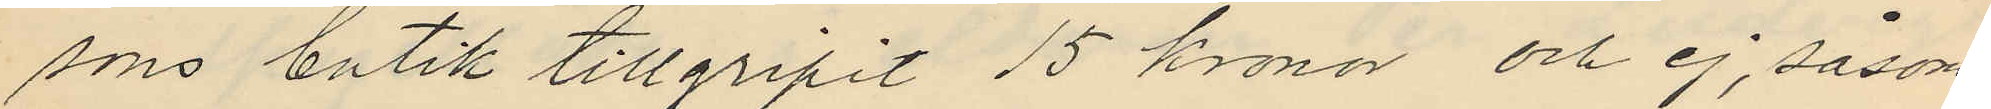sons butik tillgripit 15 kronor och ej, såsom
